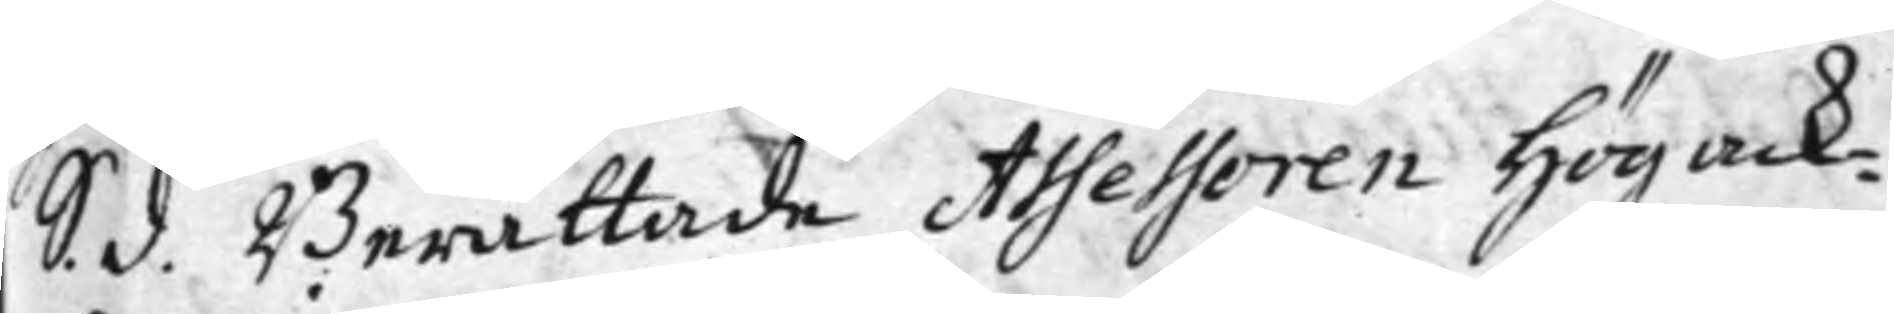S. d. Berättade Assessoren Högack¬
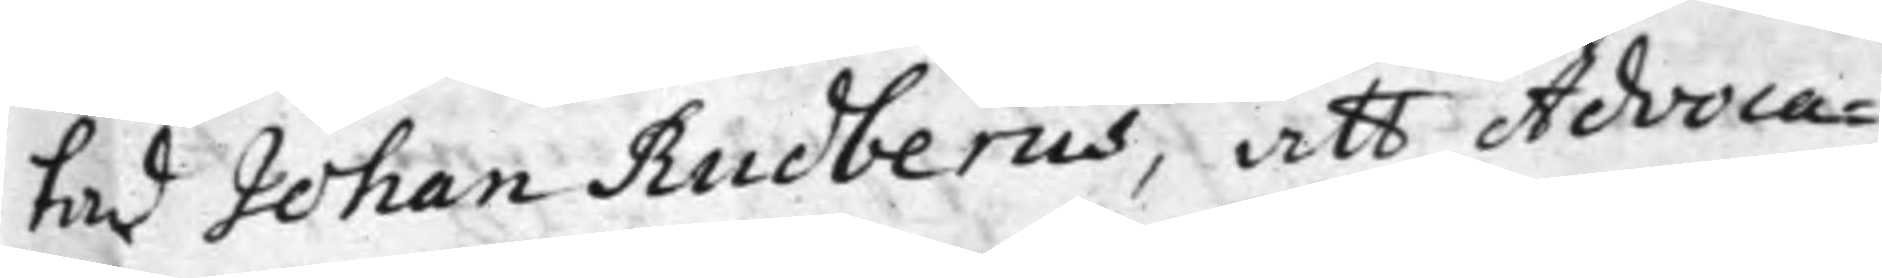tad Johan Rudberus, att Advoca¬
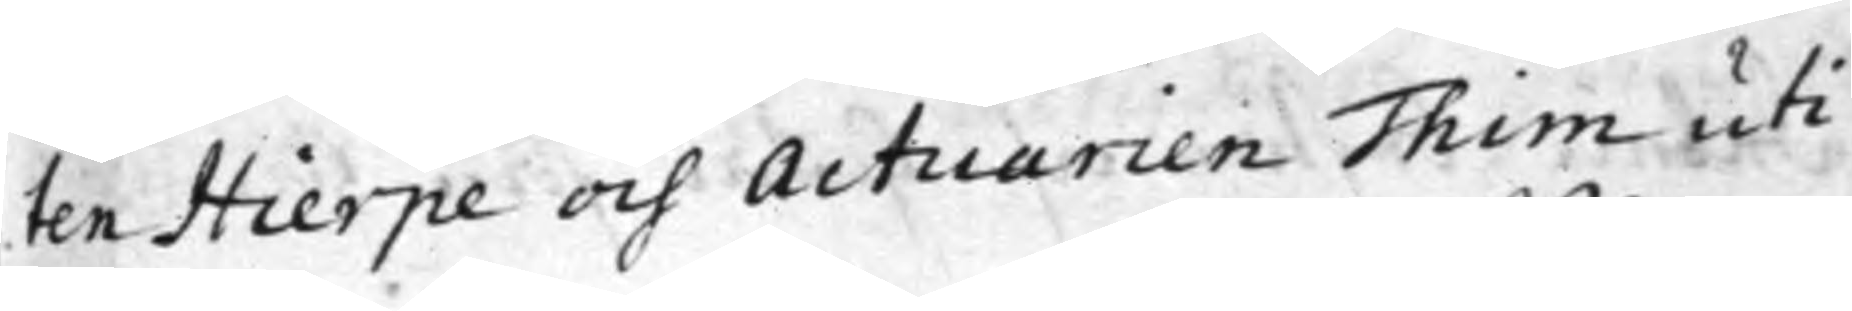ten Hierpe och Actuarien Thim uti
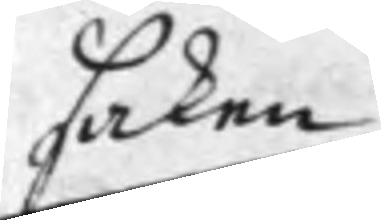saken
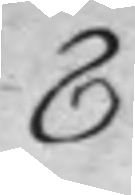8
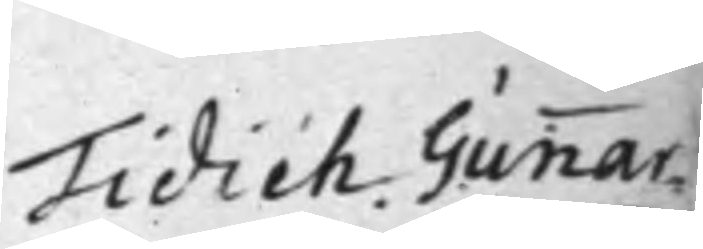Tidich Gunnar¬
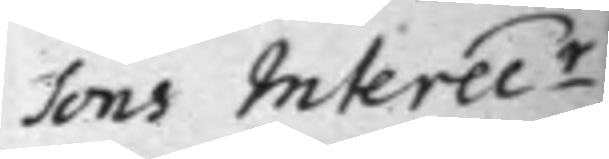sons Interec.r
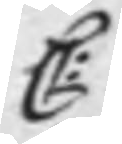C:
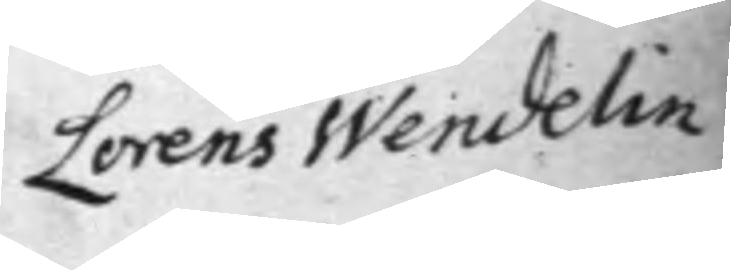Lorens Wendelin
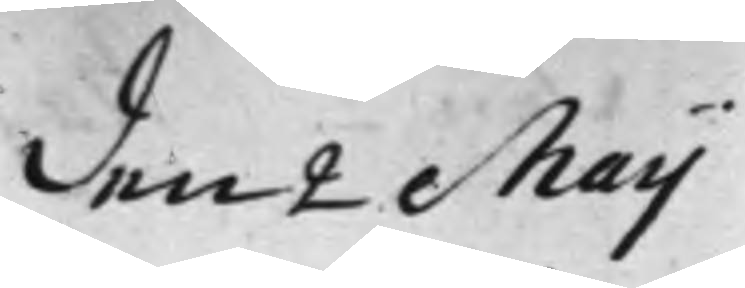den 2 Maij
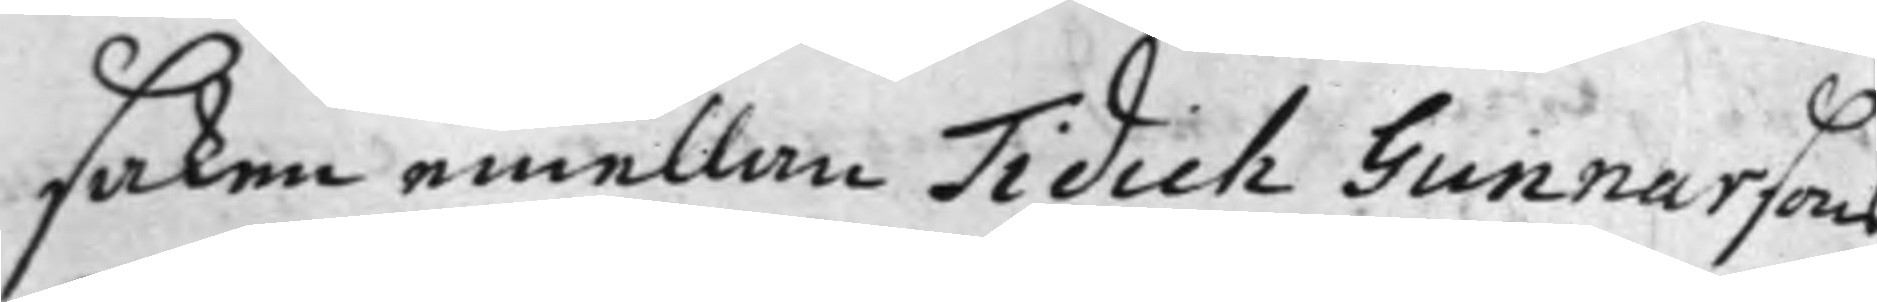saken emellan Tidich Gunnarsons
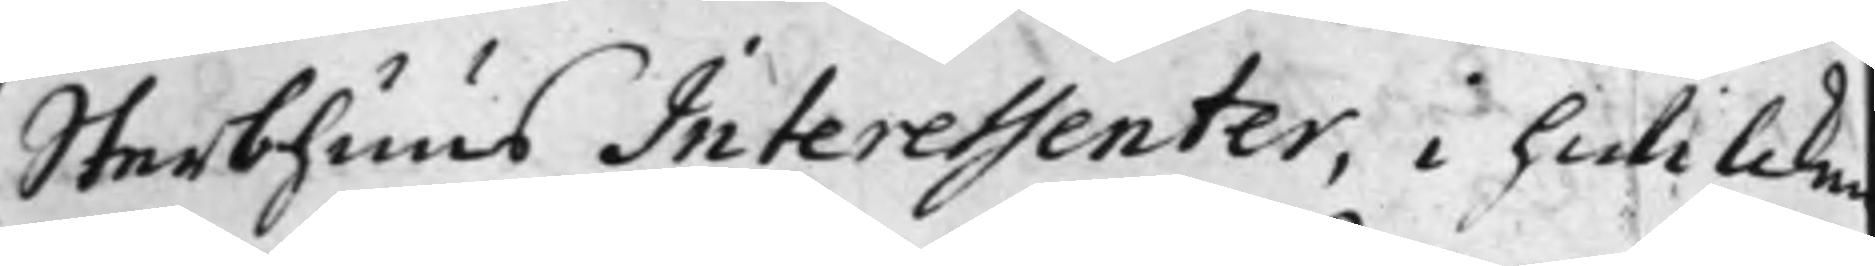Sterbhuus Interessenter, i hwilcken
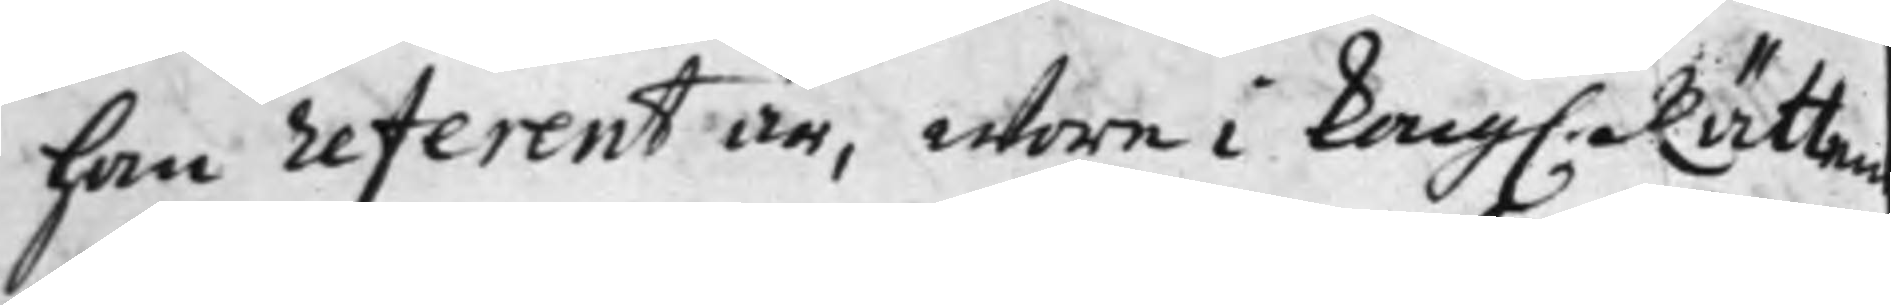han referent är, wore i Kongl. Rätten
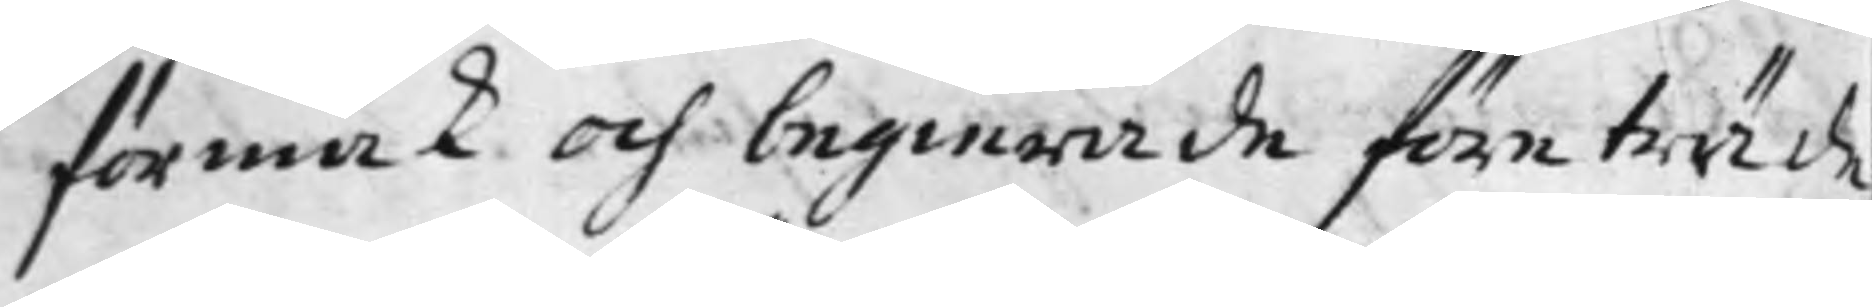förmak och begierade företräde,
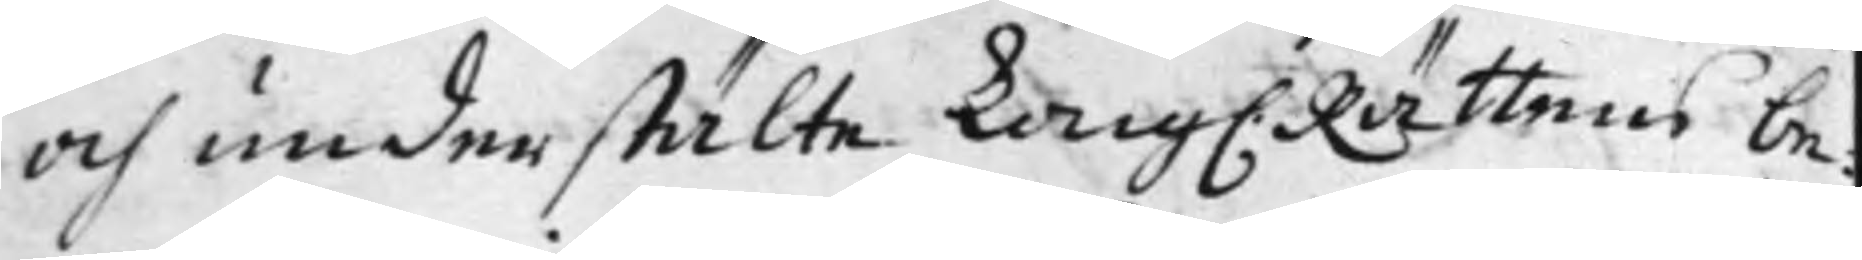och understälte Kong. Rättens be¬
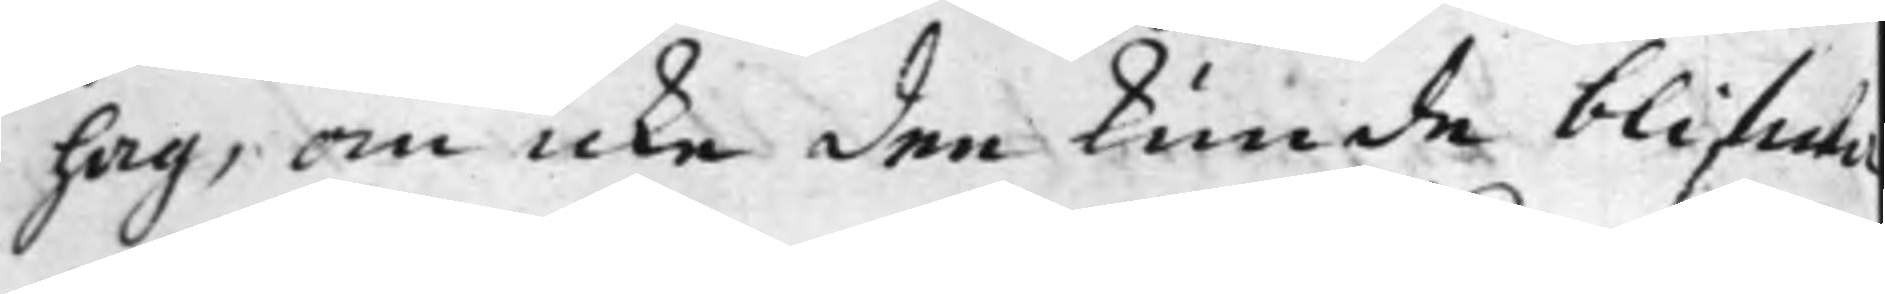hag, om icke dee kunde blifwa
